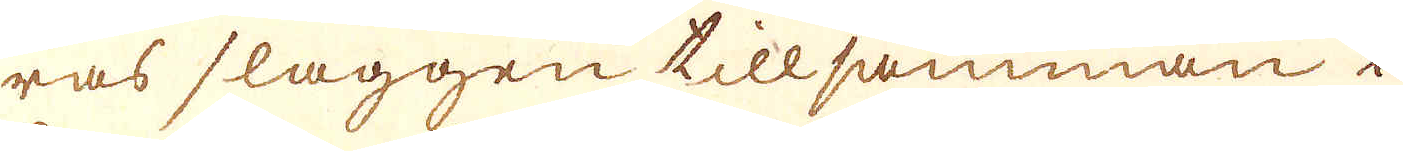ras slaggen tillsamman i
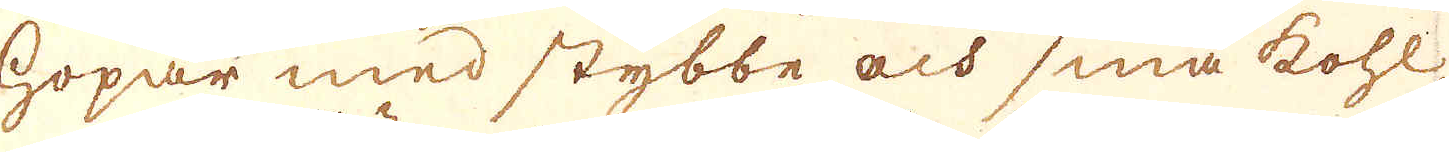hopar med stybbe och små kohl
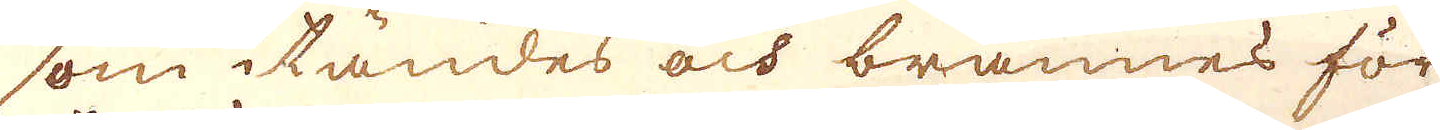som itändes och brännes för
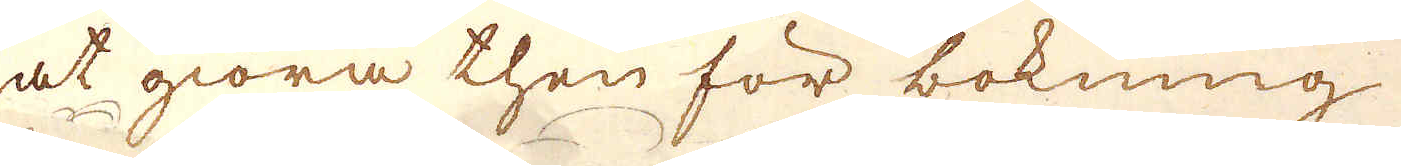at giöra then för bokning
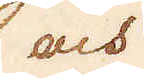och
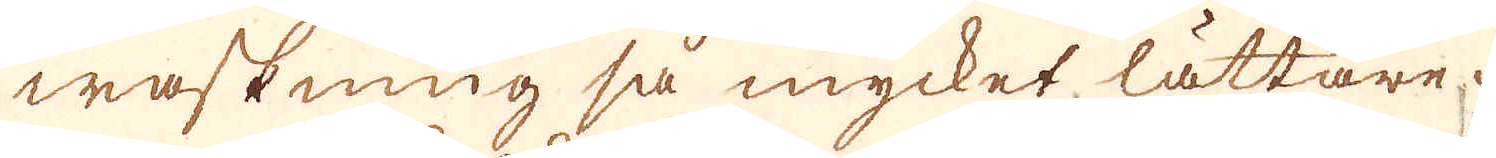waskning så mycket lättare.
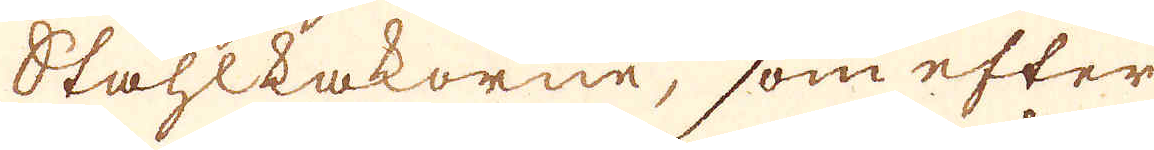Ståhlkakorne, som efter
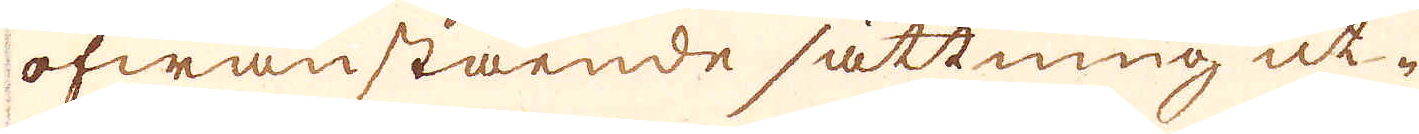ofwanstående sättning ut-
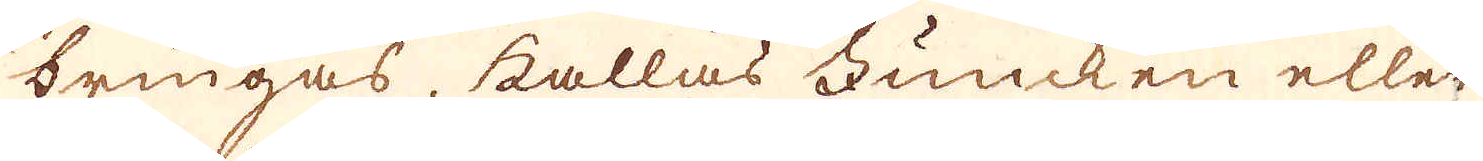bringas, kallas Funcken eller
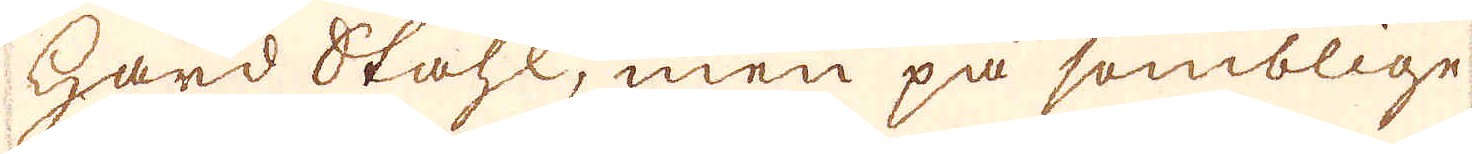hard Ståhl, men på somblige
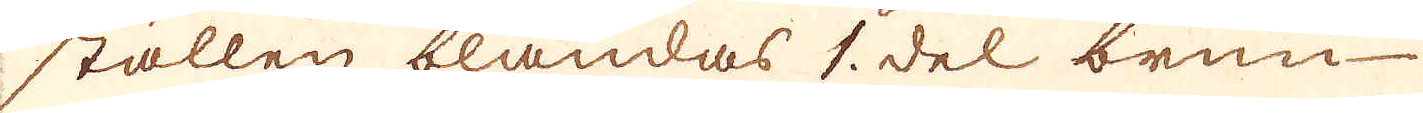ställen blandas 1. del brun
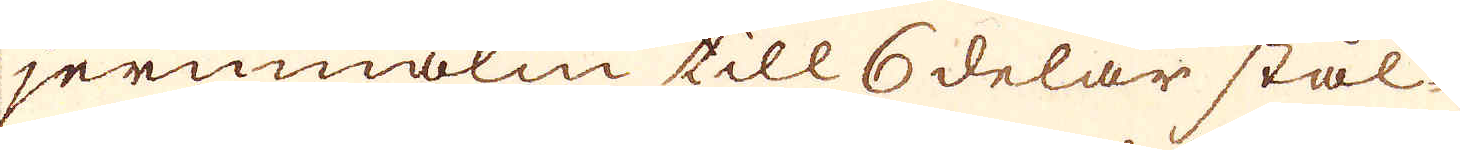jernmalm till 6 delar stål-
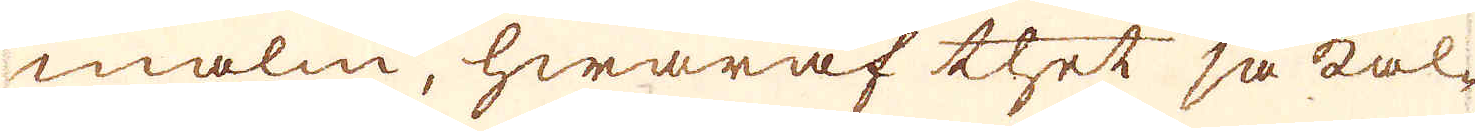malm, hwaraf thet så kal-
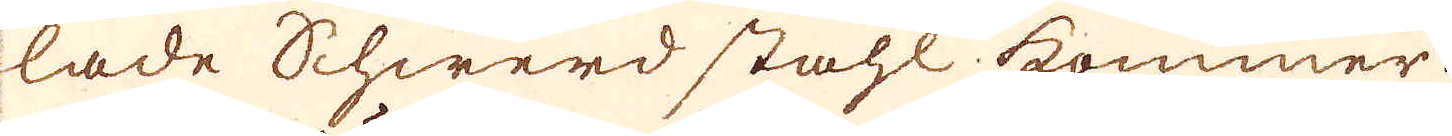lade Schwerd stahl kommer:
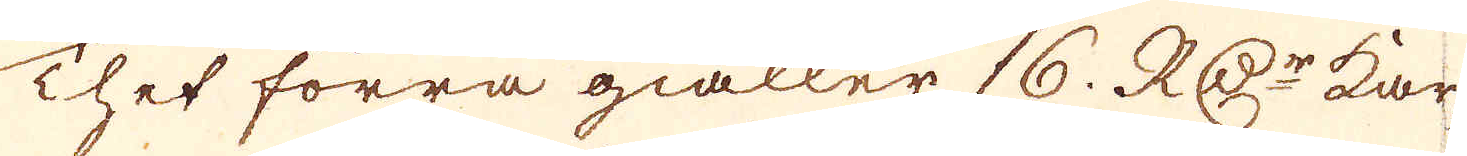Thet förra giäller 16. RD:r kär-
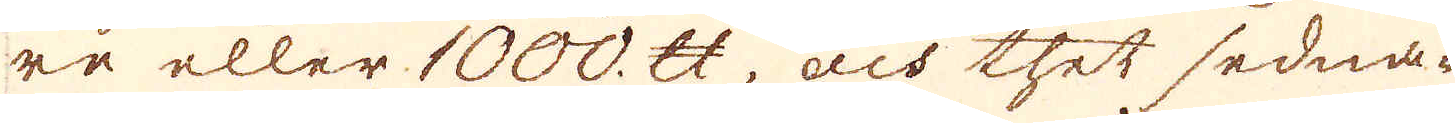re eller 1000. skålpund, och thet sedna-
